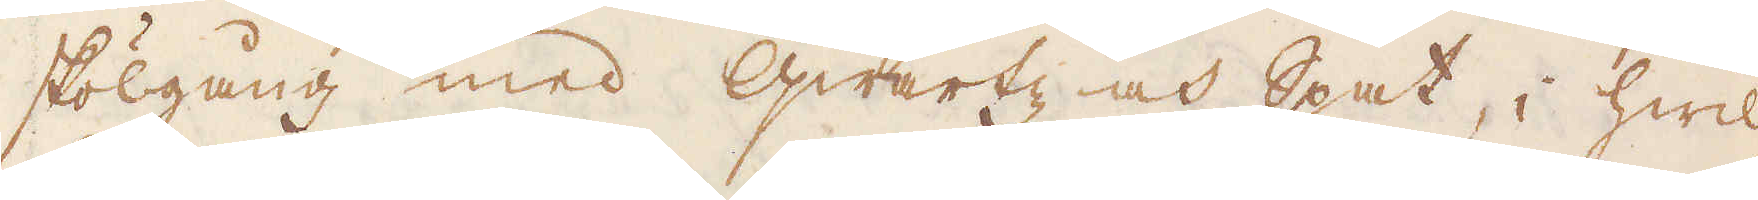skölgång med Qwartz och Spat, i hwil-
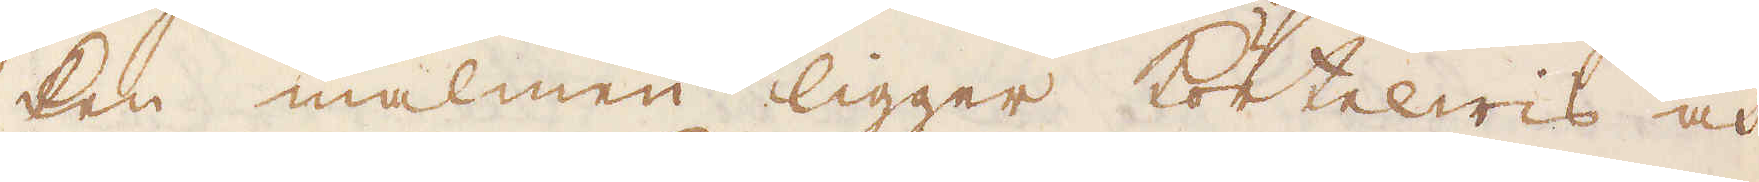ken malmen ligger Körtelwis och
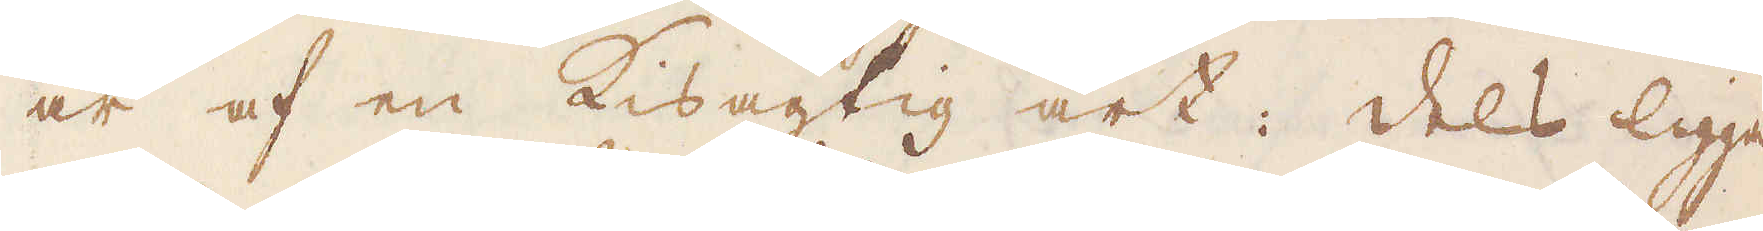är af en Kisagtig art: Dels ligga
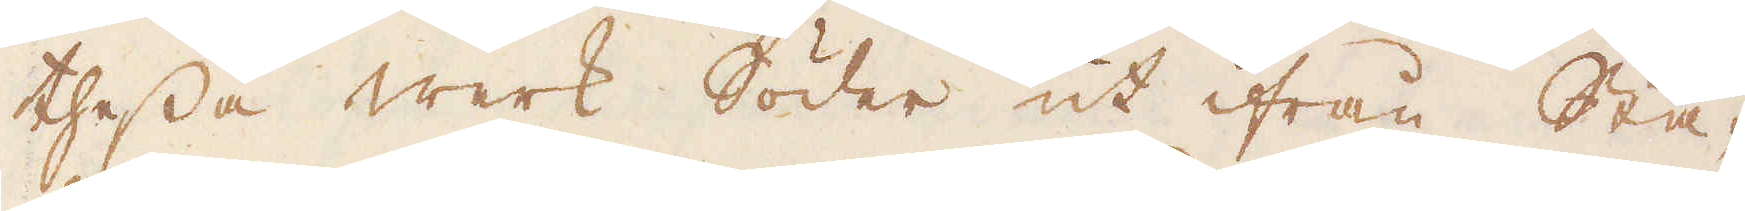thessa werk Söder ut ifrån Sta-
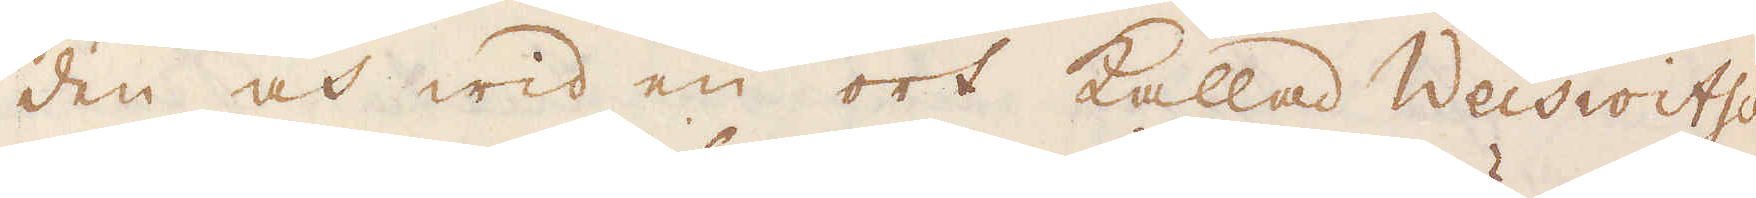den och wid en ort kallad Weiswitsch
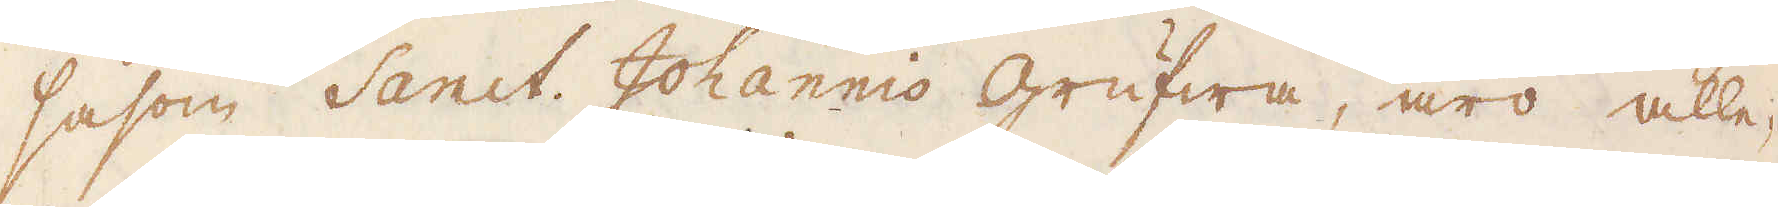såsom Sanct Johannis grufwa, äro alle-
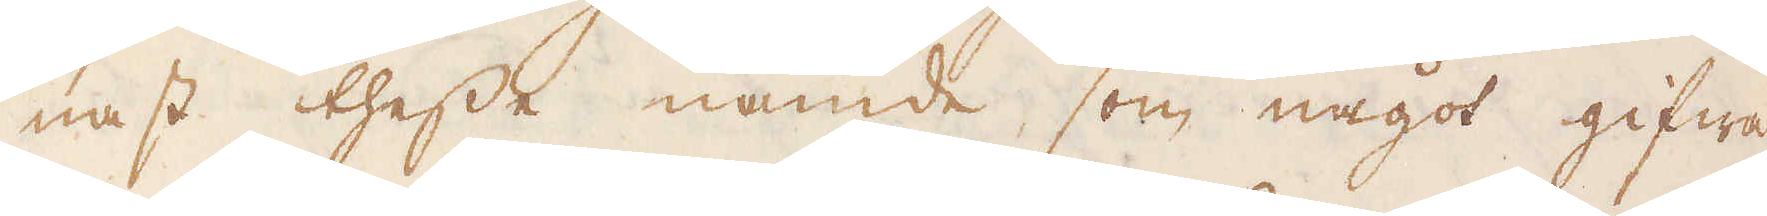nast thesse nämde, som något gifwa,
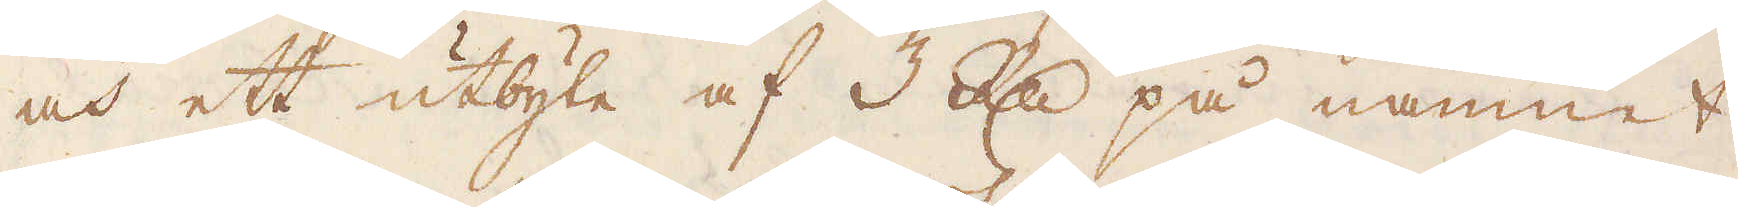och ett utbyte af 3 R:dr på namnet
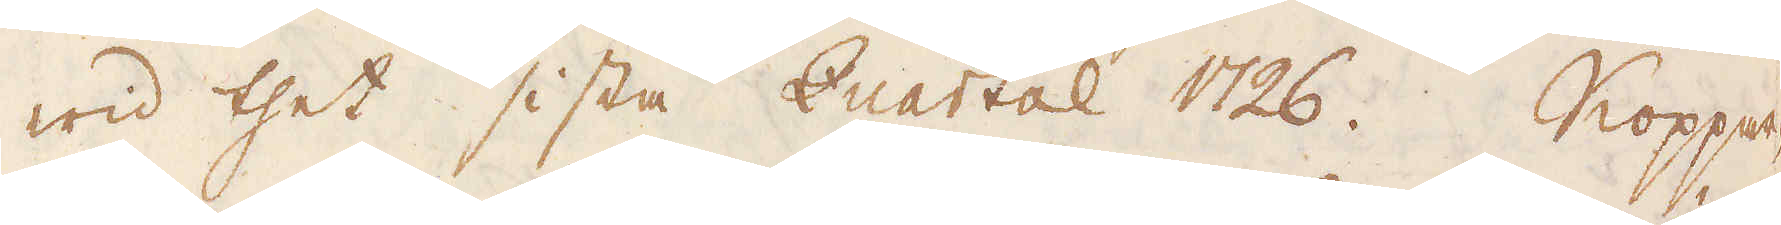wid thet sista Quartal 1726. Koppar-
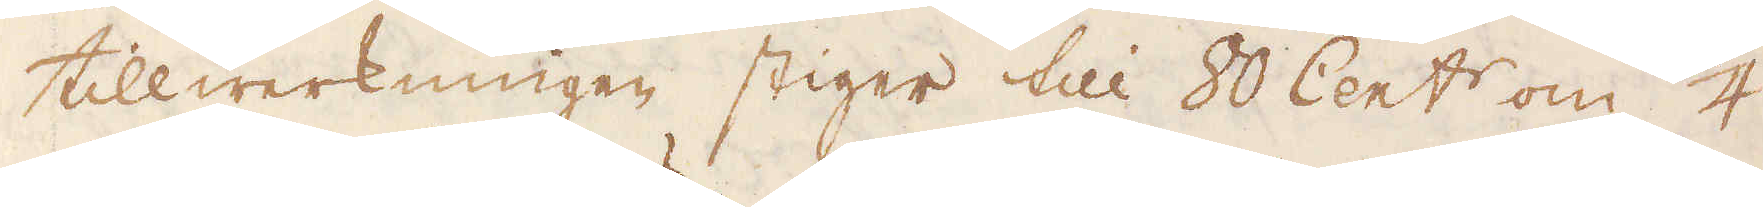tillwerkningen stiger till 80 Cent:r om 1/4
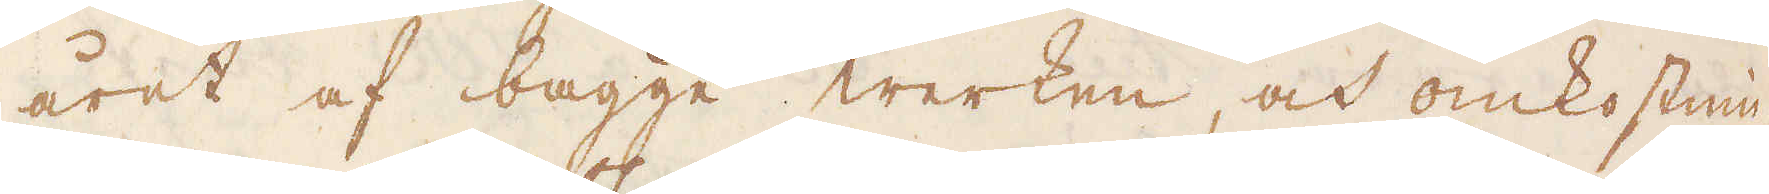året af bägge werken, och omkostnin-
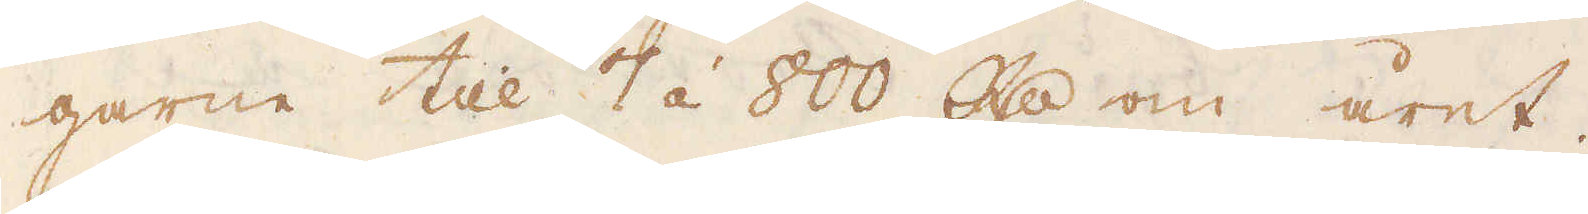garne till 7 à 800 R:dr om året.
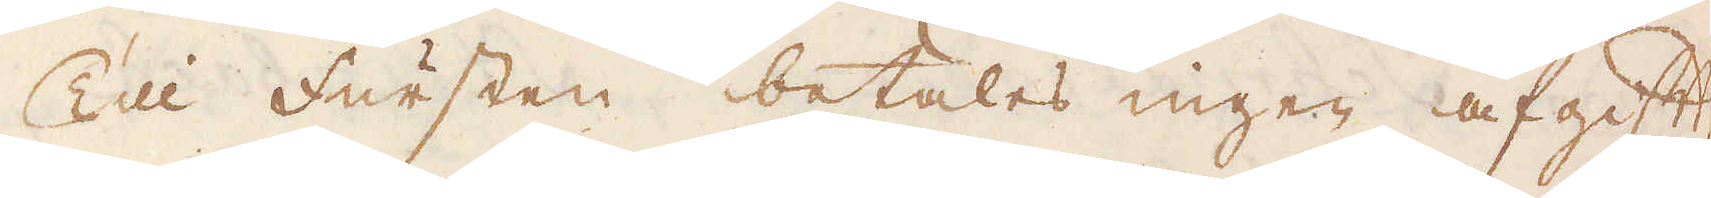Till Fursten betales ingen afgift,
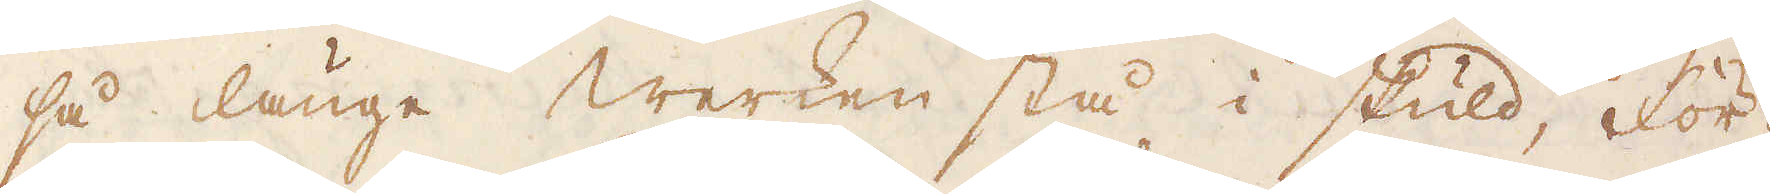så länge Werken stå i skuld, för-
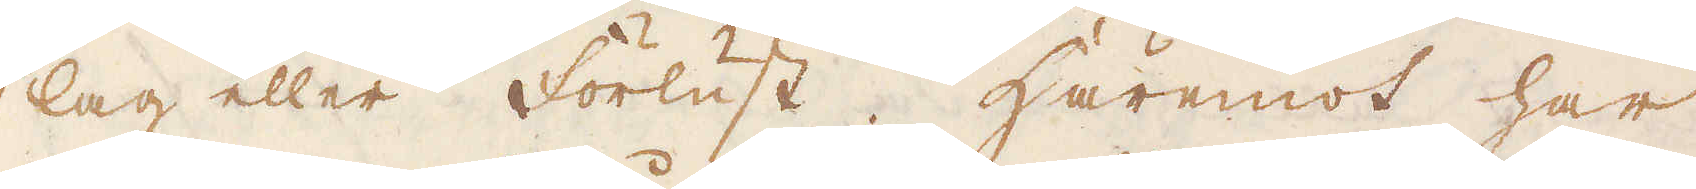lag eller förlust. Häremot har
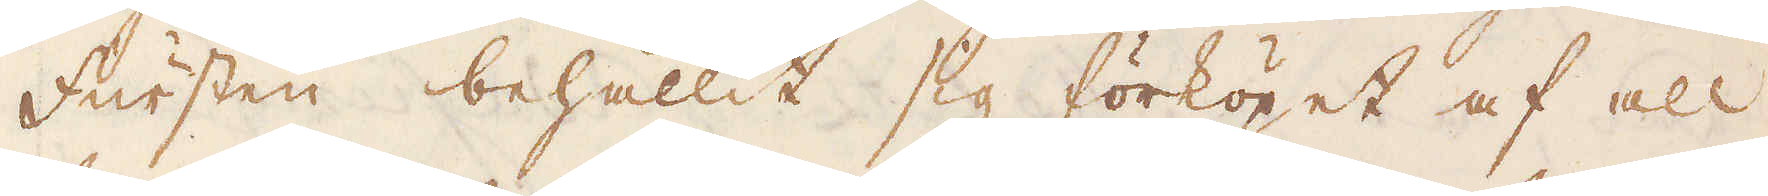Fursten behållit sig förköpet af all
